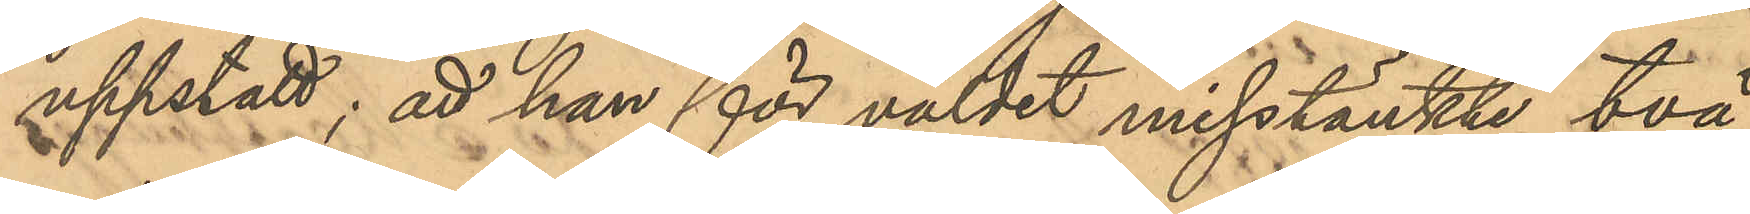uppstått; att han för våldet misstänkte två
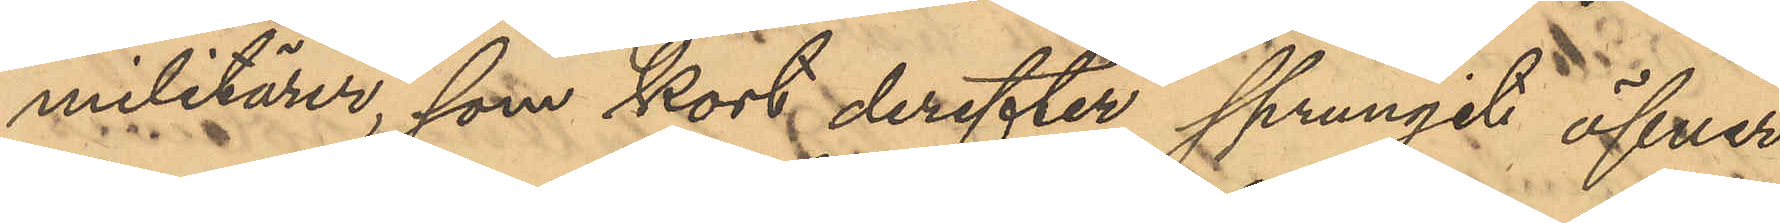militärer, som kort derefter sprungit öfver
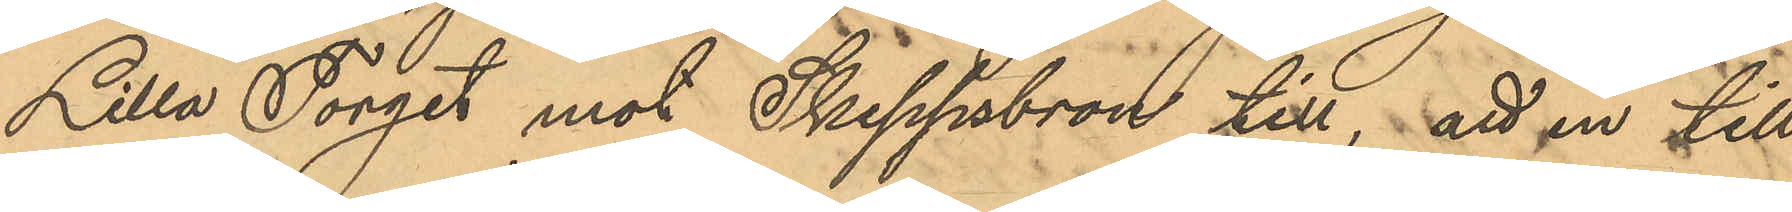Lilla Torget mot Skeppsbron till, att en till
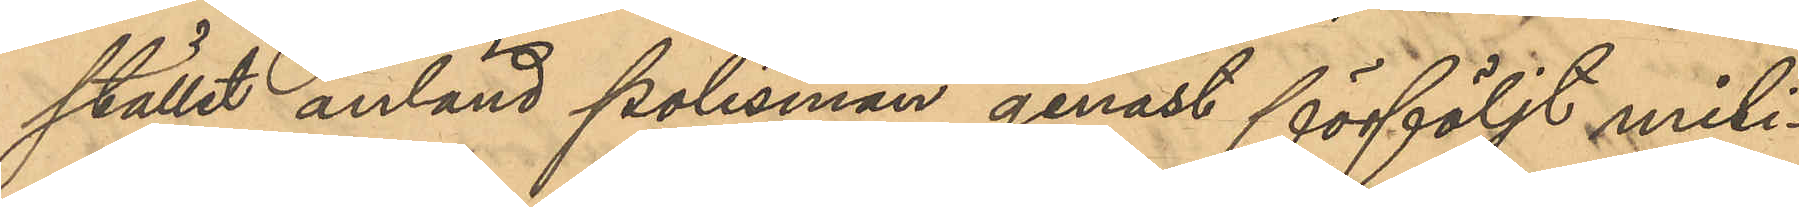stället anländ polisman genast förföljt mili¬
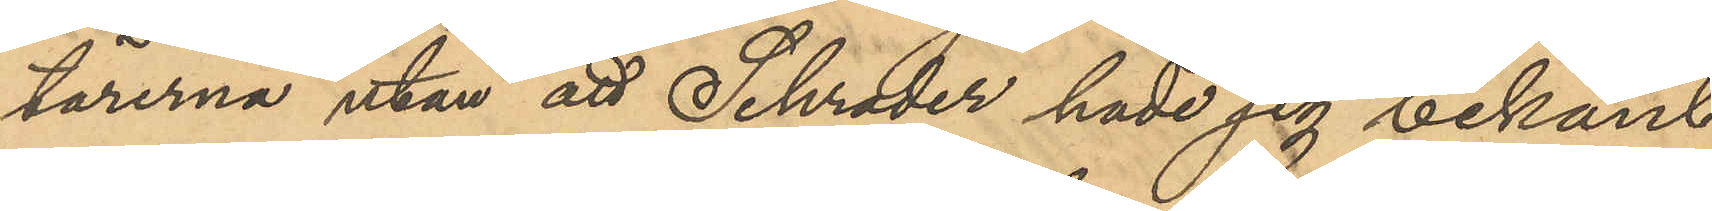tärerna utan att Schrader hade sig bekant
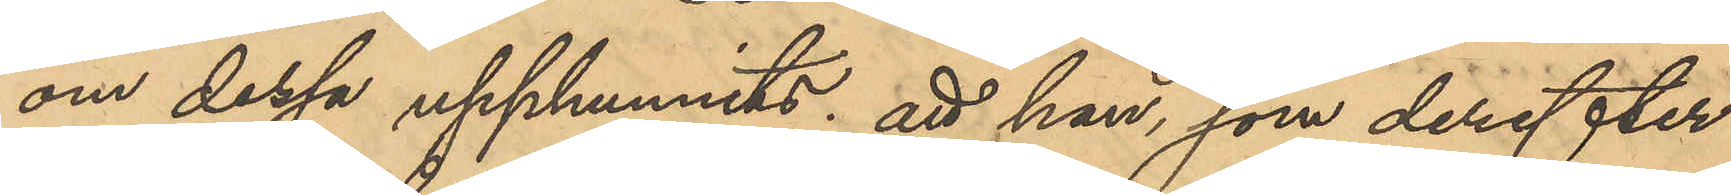om dessa upphunnits; att han, som derefter
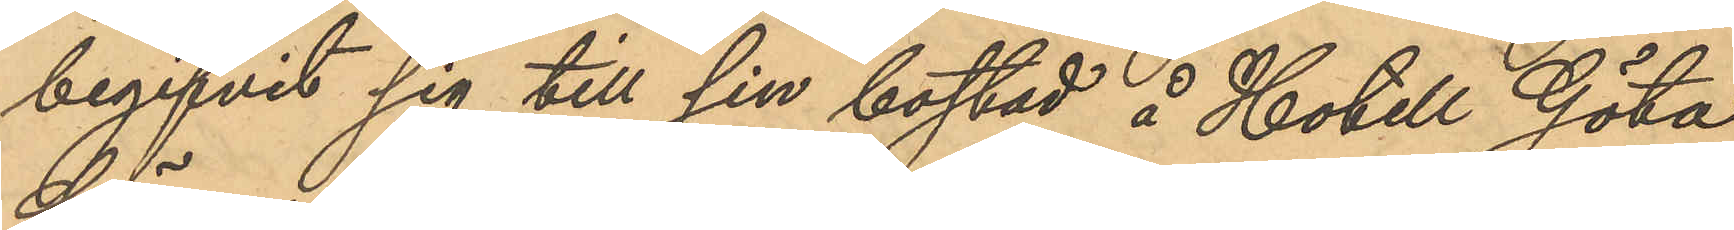begifvit sig till sin bostad å Hotell Göta
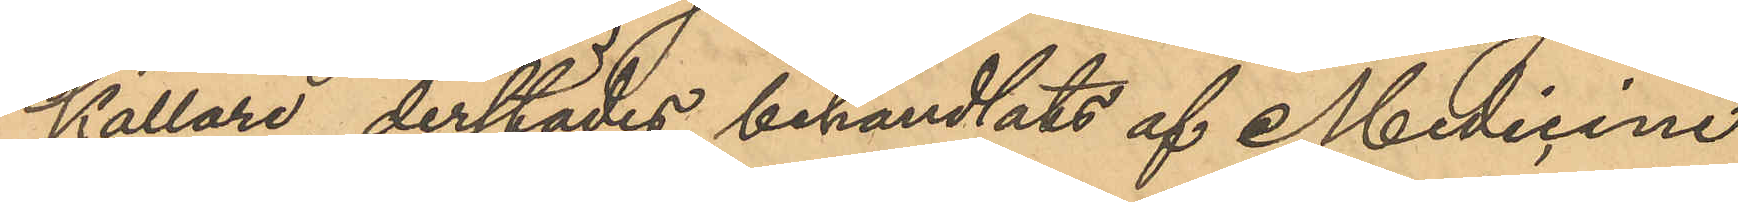Källare, derstädes behandlats af Medicine
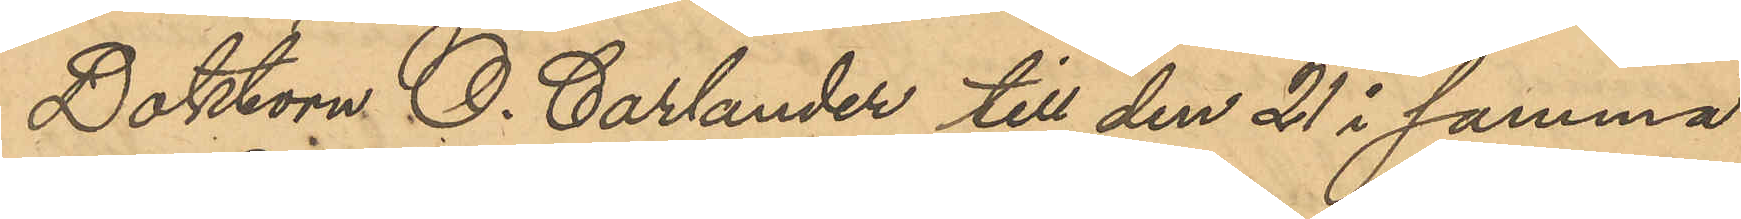Doktorn O. Carlander till den 21 i samma
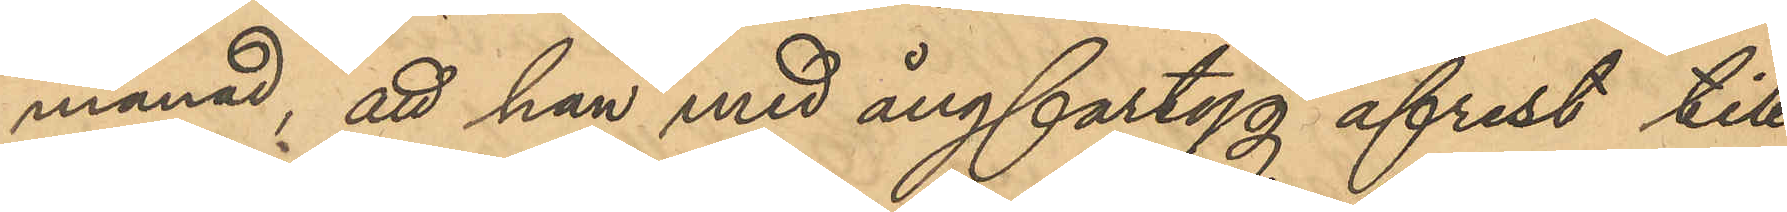månad, att han med ångfartyg afrest till
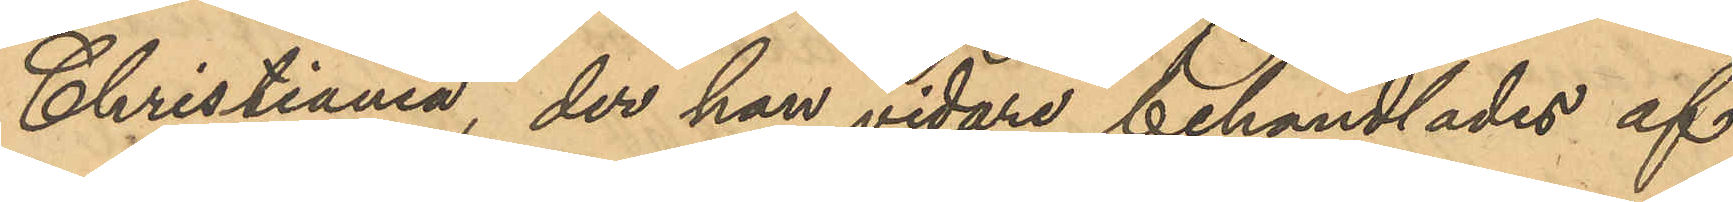Christiania, der han vidare behandlades af
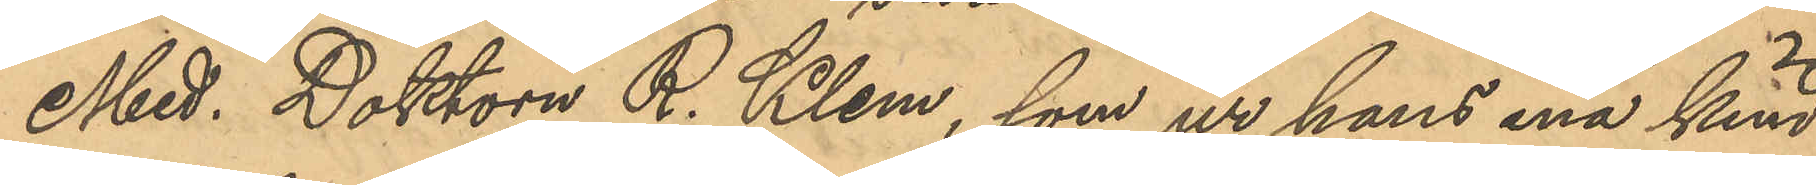Med. Doktorn R. Klem, som ur hans ena kind
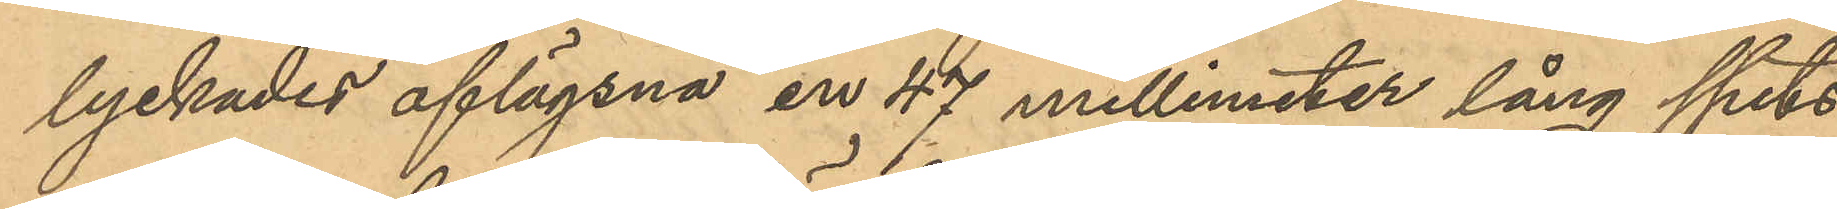lyckades aflägsna en 47 millimeter lång spets
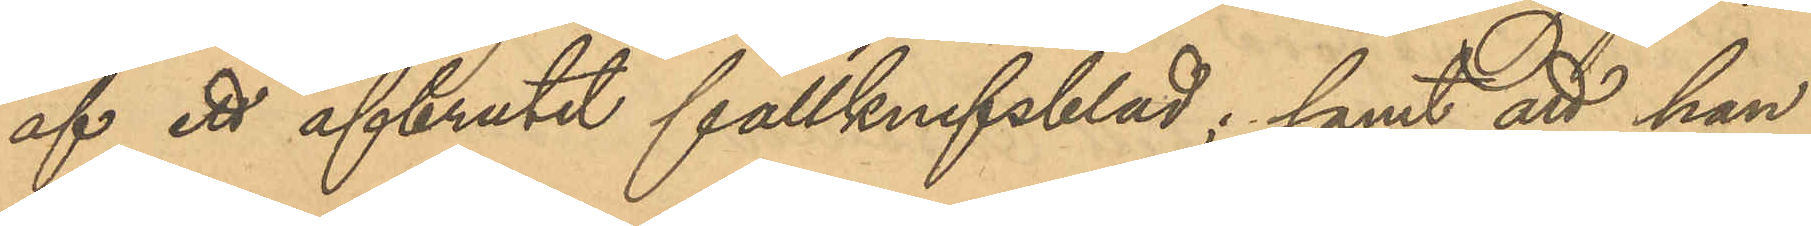af ett afbrutet fällknifsblad; samt att han
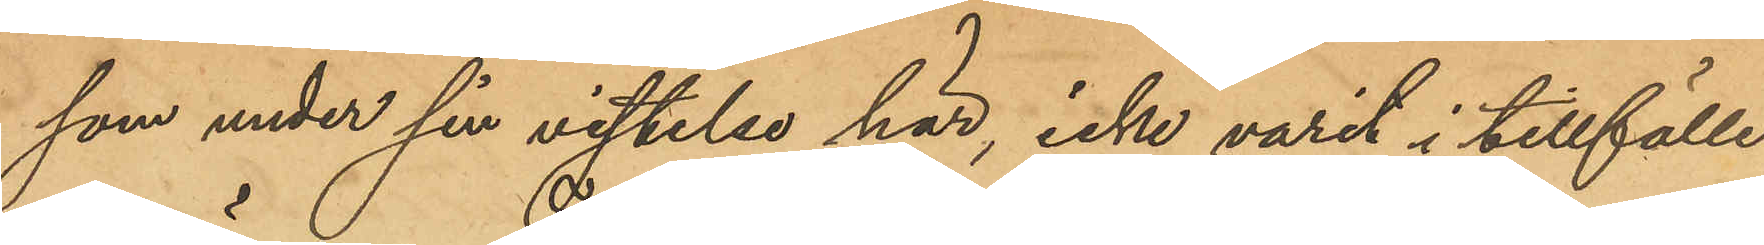som under vistelsen här, icke varit i tillfälle
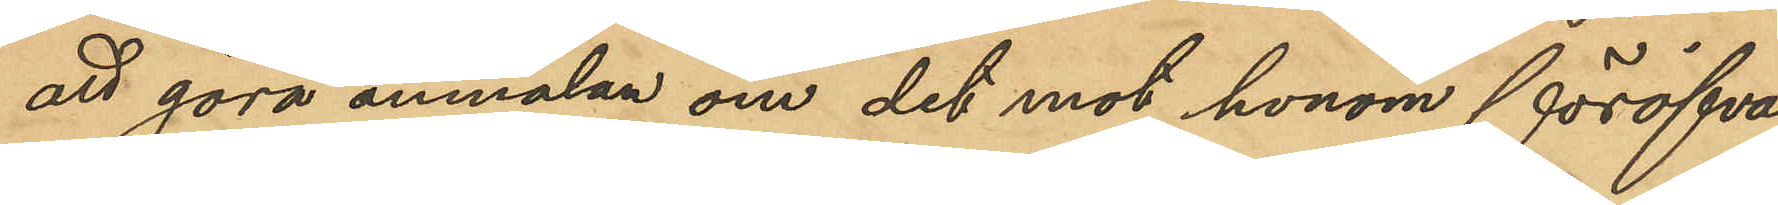att göra anmälan om det mot honom föröfva¬
